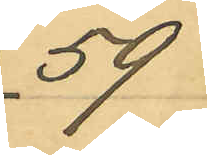59
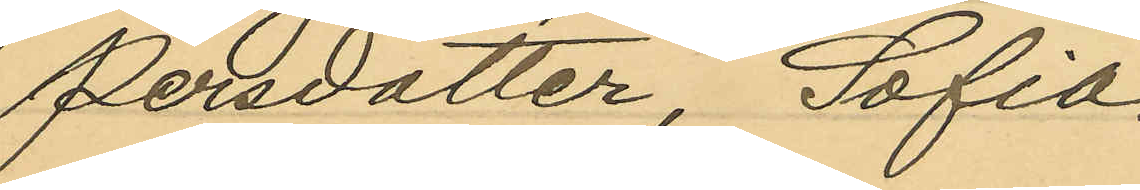Persdotter, Sofia
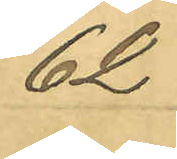62
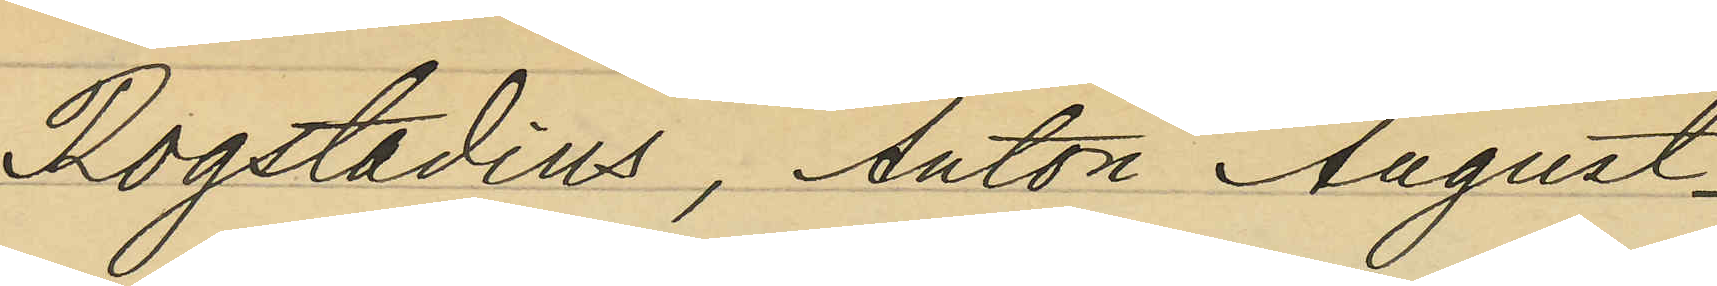Rogstadius, Anton August
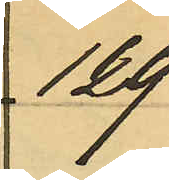129
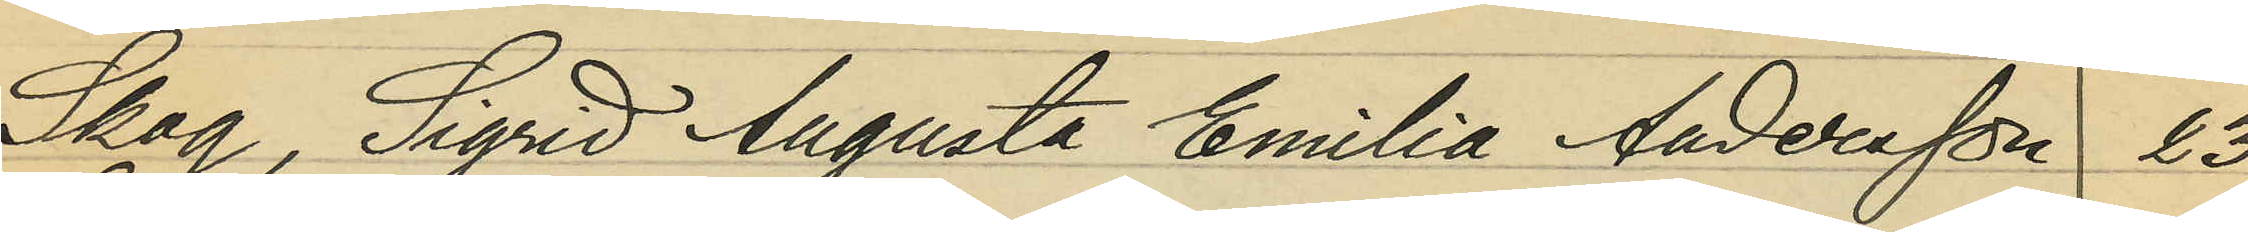Skog, Sigrid Augusta Emilia Andersson 23
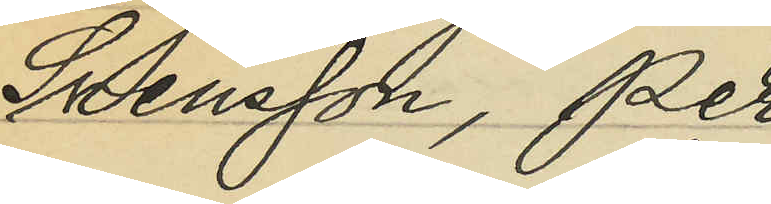Svensson, Per
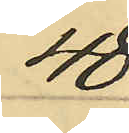48
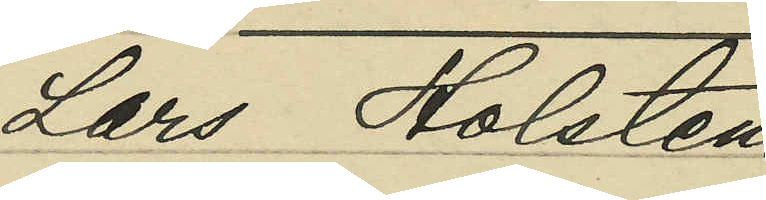Lars Holsten
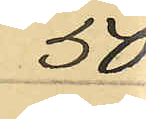50
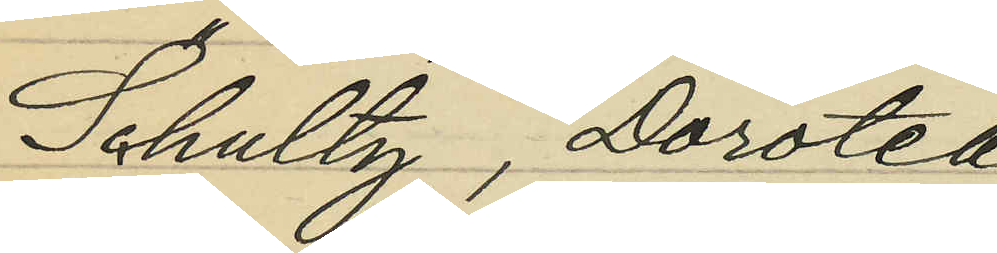Schultz, Dorotea
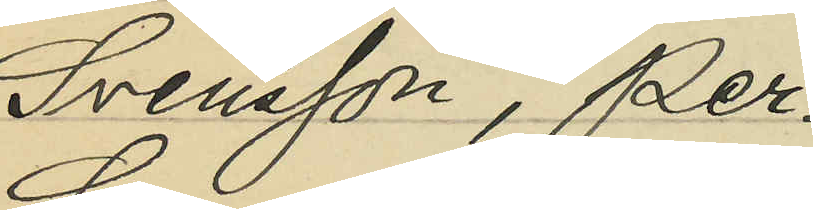Svensson, Per
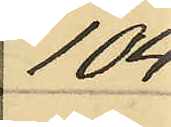104
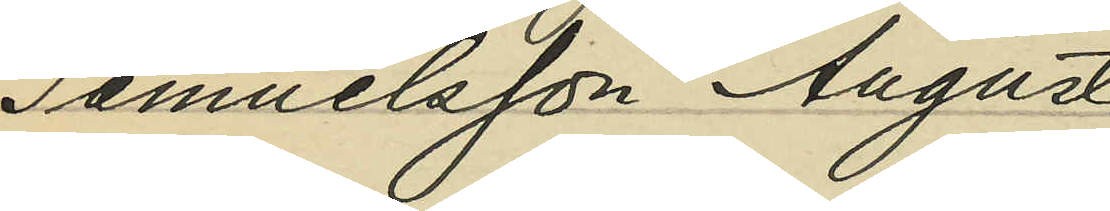Samuelsson, August
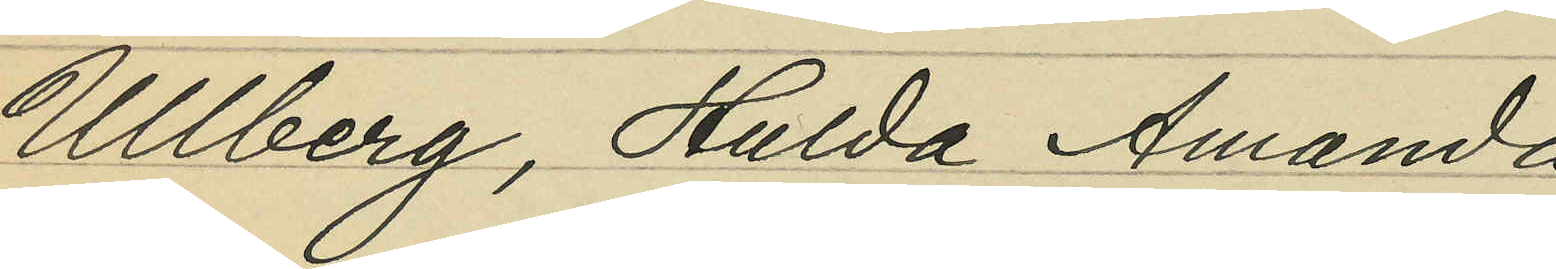Ullberg, Hulda Amanda
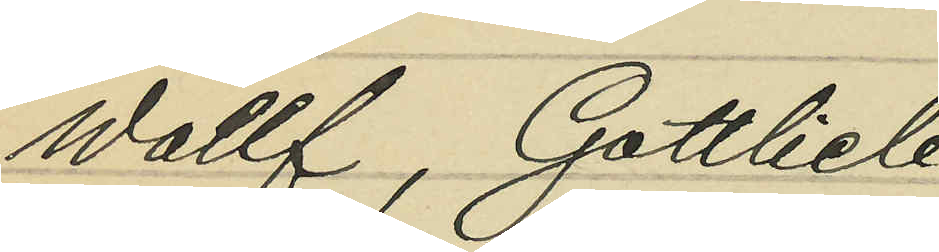Wollf, Gottlieb
